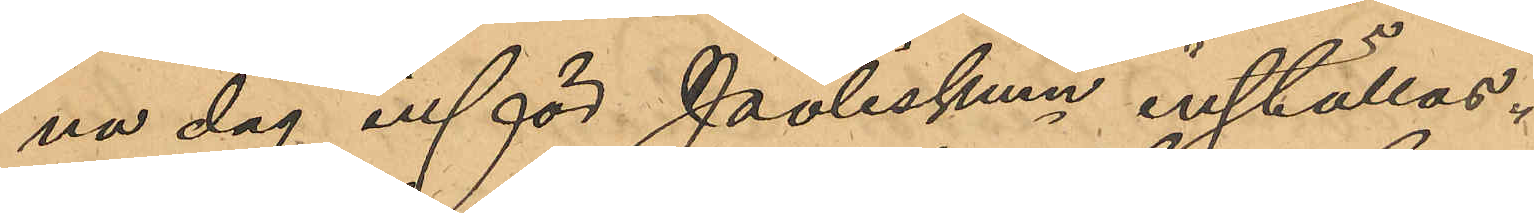na dag inför Poliskam inställas.
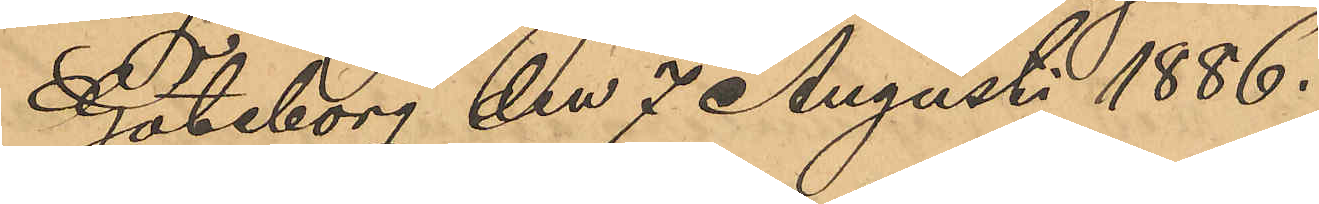Göteborg den 7 Augusti 1886.
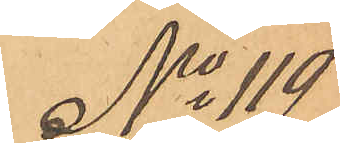No 119
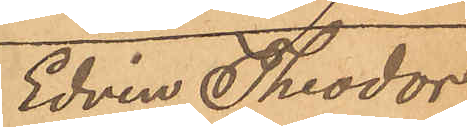Edvin Theodor
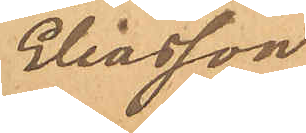Eliasson
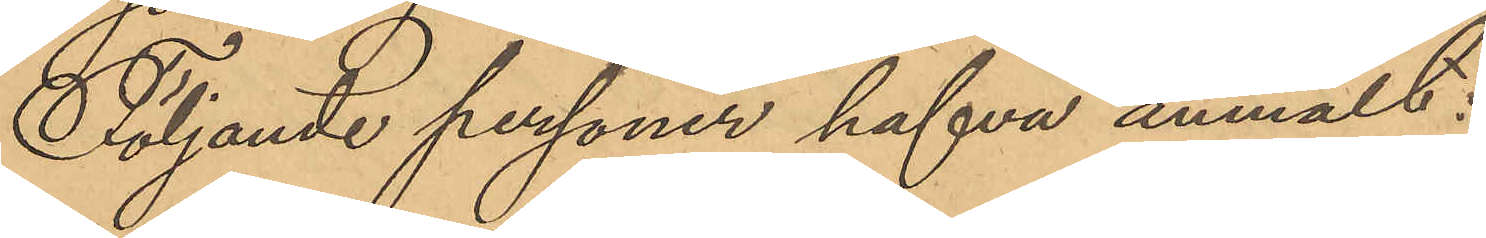Följande personer hafva anmält:
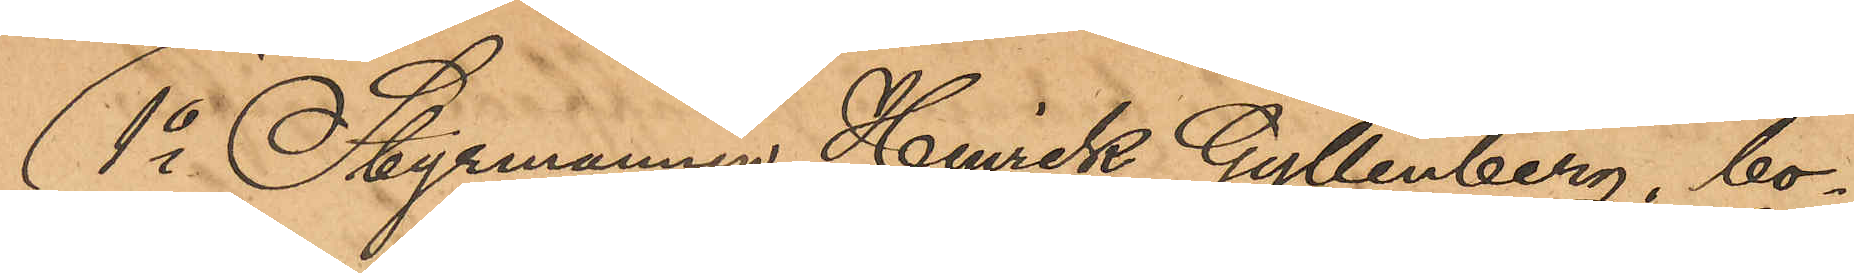1o Styrmannen Henrik Gyllenberg, bo¬
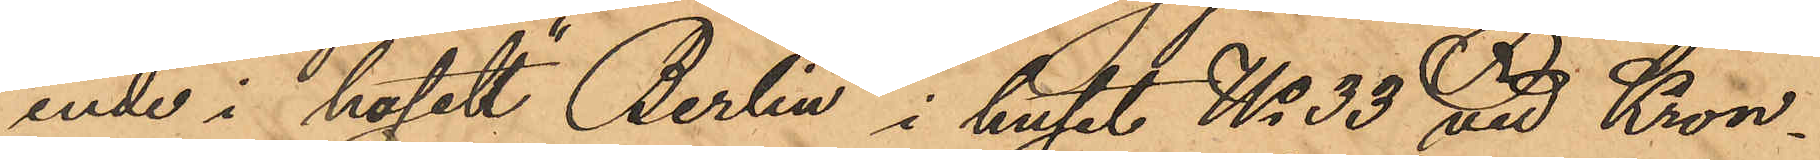ende i hotell "Berlin" i huset No 33 vid Kron¬
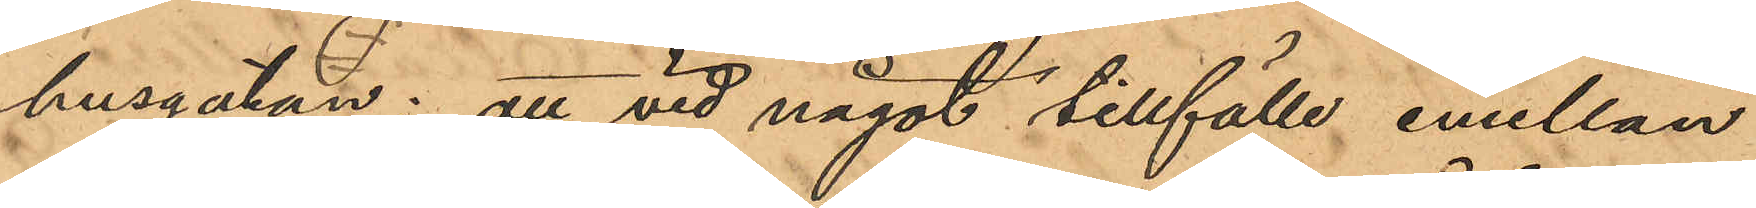husgatan: att vid något tillfälle emellan
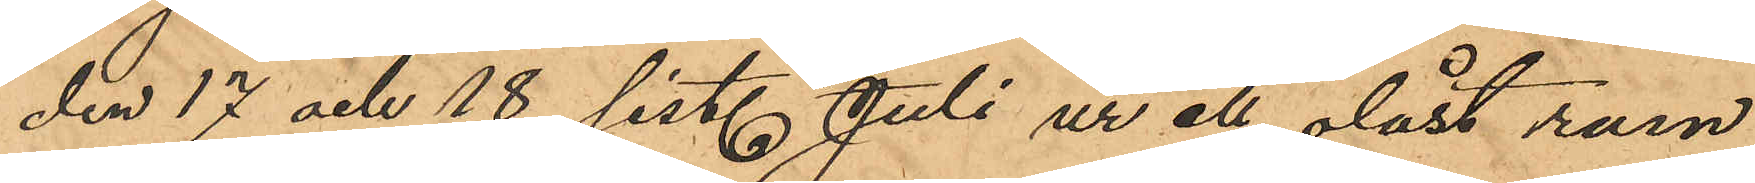den 17 och 18 sist. Juli ur ett olåst rum
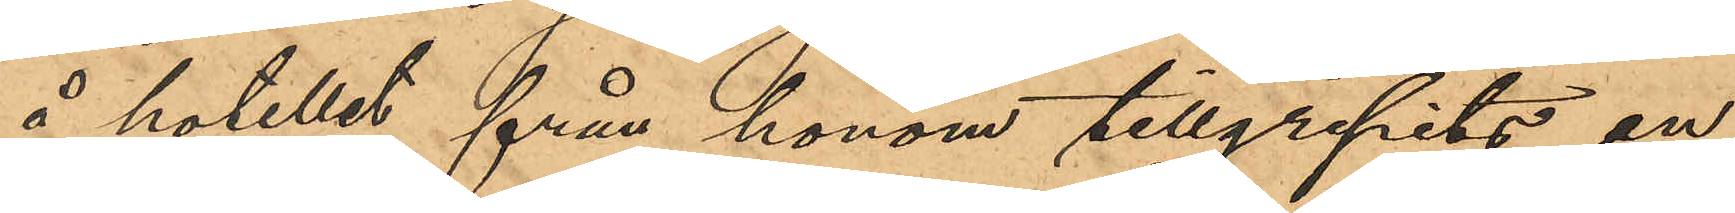å hotellet från honom tillgripits en
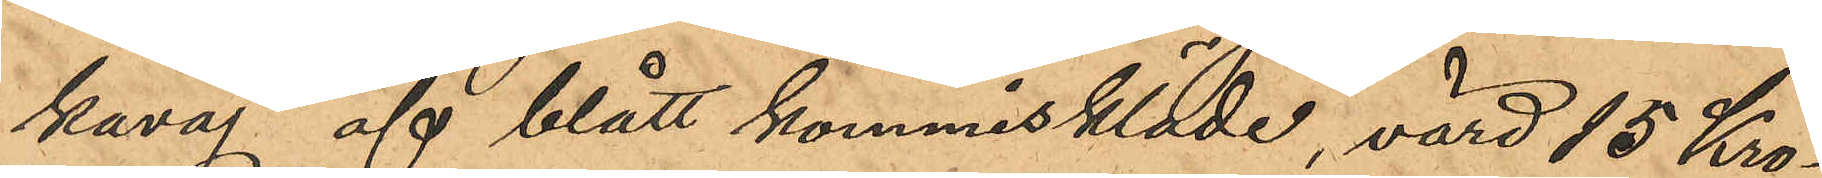kavaj af blått kommiskläde, värd 15 Kro¬
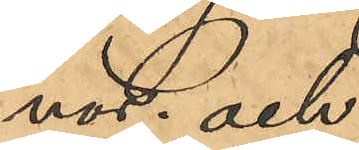nor; och
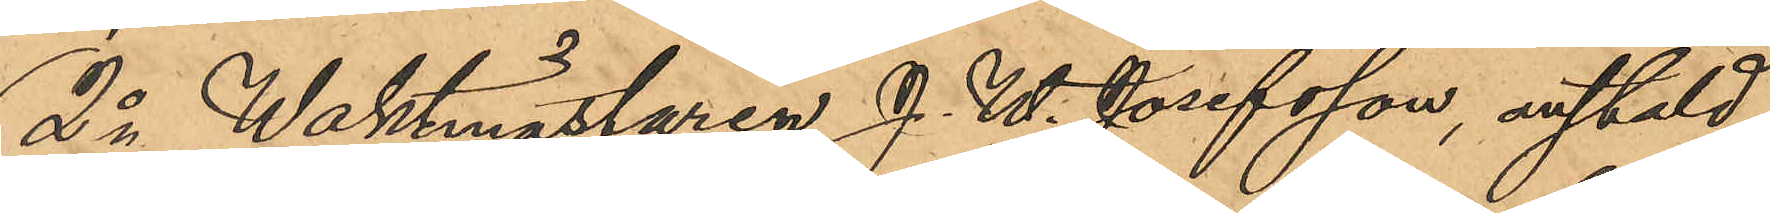2o Waktmästaren J. W. Josefsson, anstäld
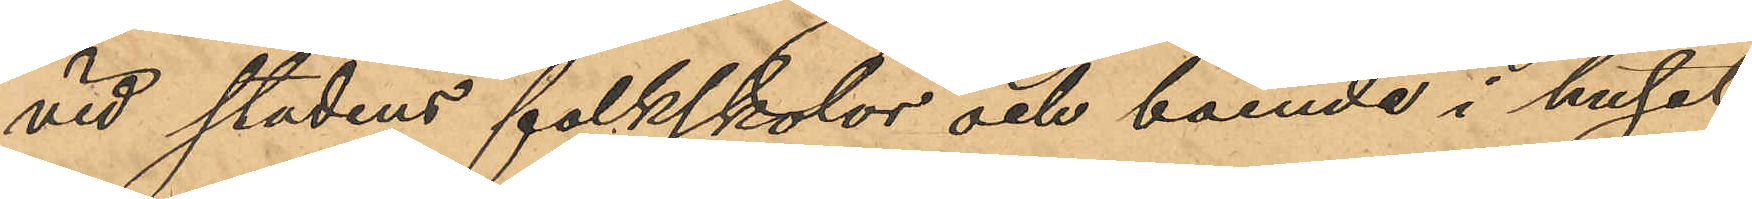vid stadens folkskolor och boende i huset
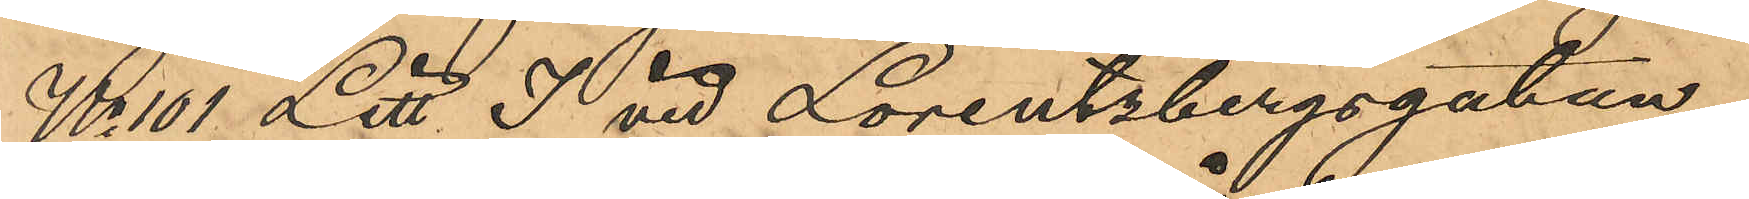No 101 Litt. I vid Lorentzbergsgatan;
